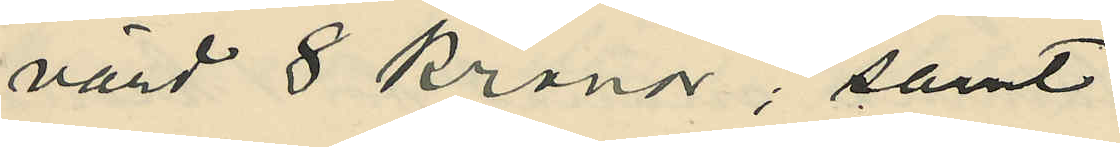värd 8 kronor, samt
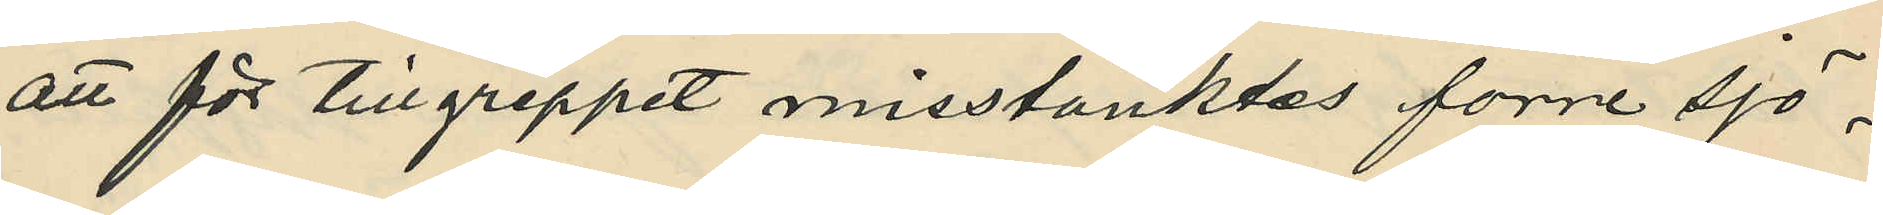att för tillgreppet misstänktes förre sjö¬
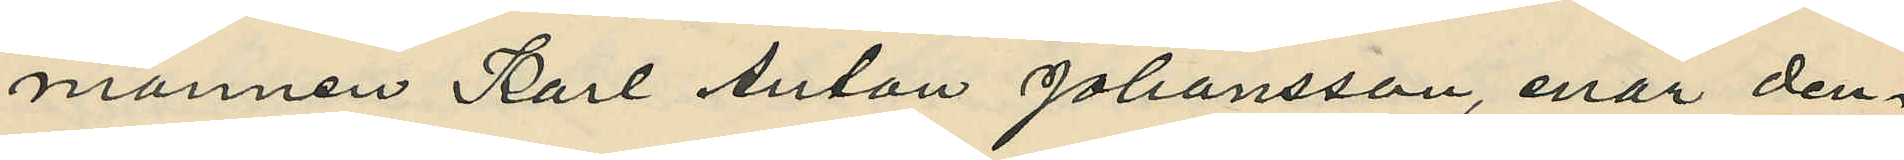mannen Karl Anton Johansson, enär den¬
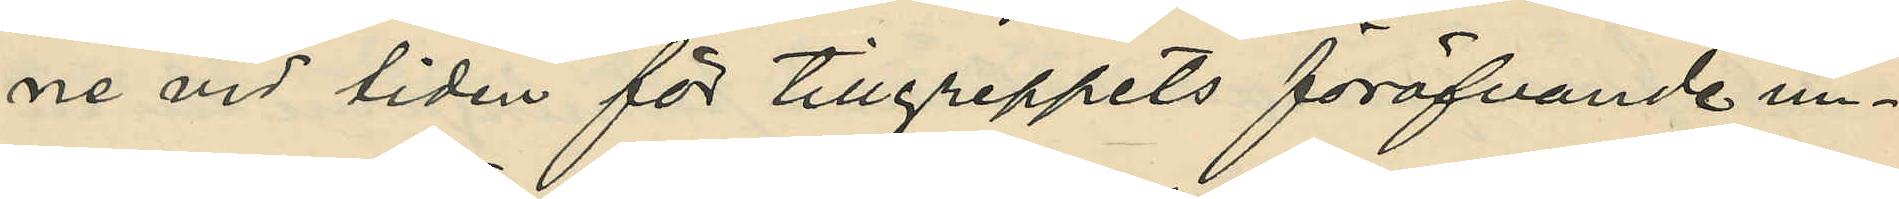ne vid tiden för tillgeppets föröfvande un¬
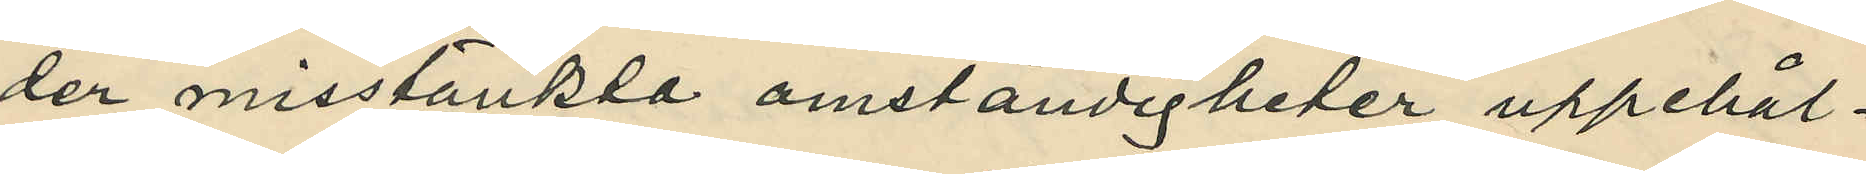der misstänkte omständigheter uppehål¬
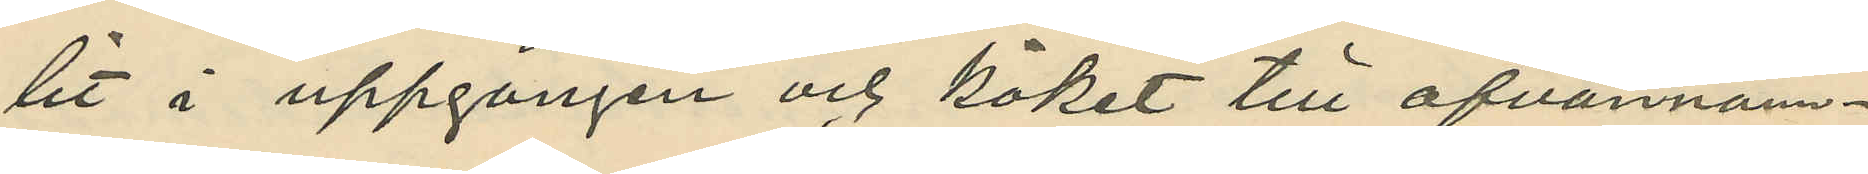lit i uppgången och köket till ofvannämn¬
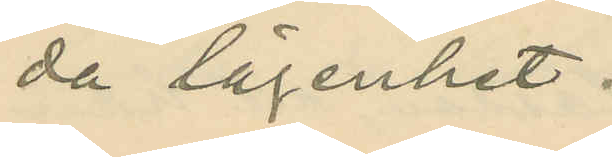da lägenhet.
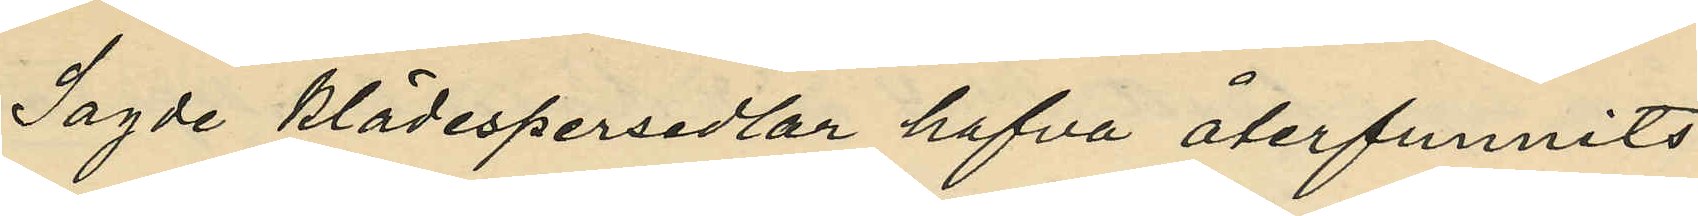Sagde klädespersedlar hafva återfunnits
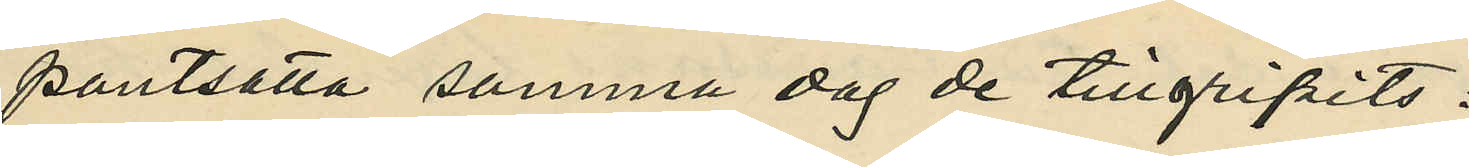pantsatta samma dag de tillgripits:
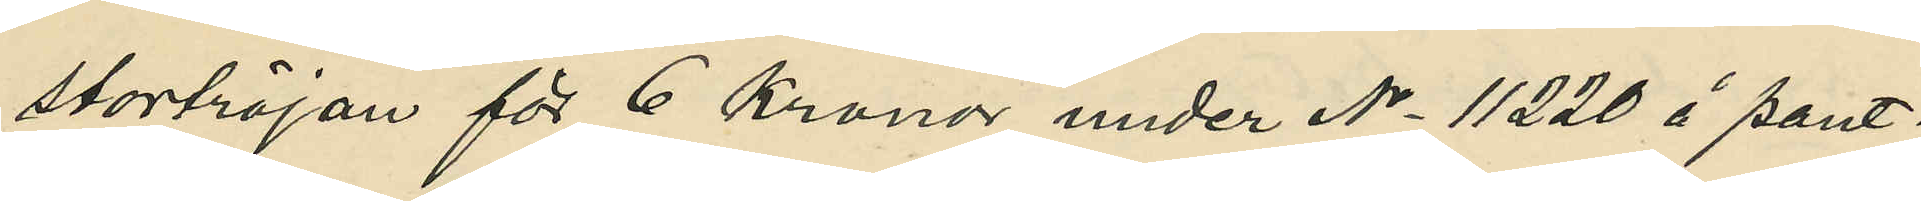stortröjan för 6 kronor under No 11220 å pant¬
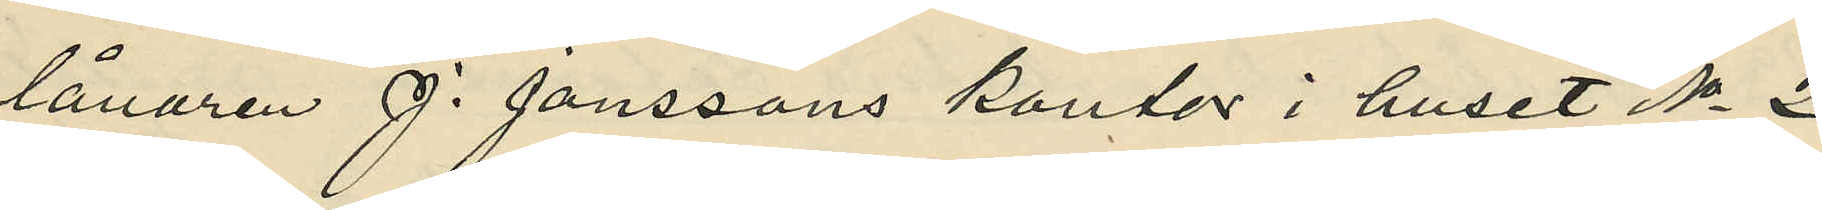lånaren J. Johanssons kontor i huset No 2
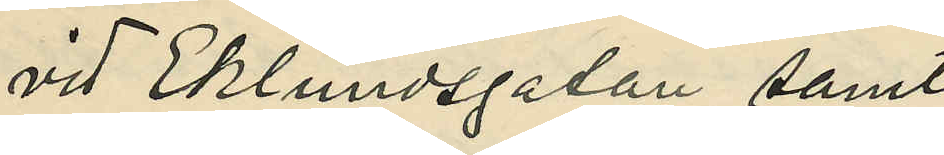vid Eklundsgatan samt
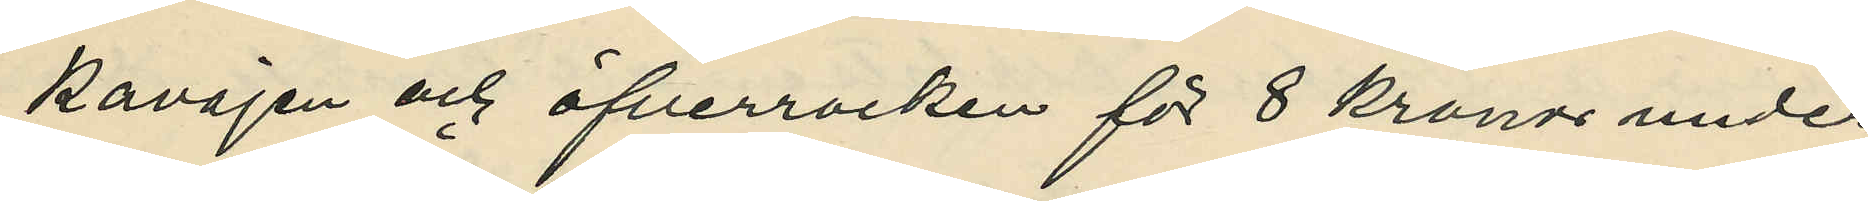kavajen och öfverrocken för 8 kronor under
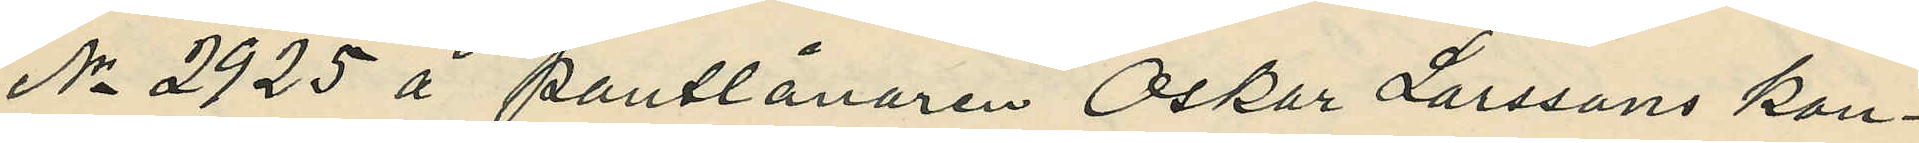Nr 2925 å pantlånaren Oskar Larsson kon¬
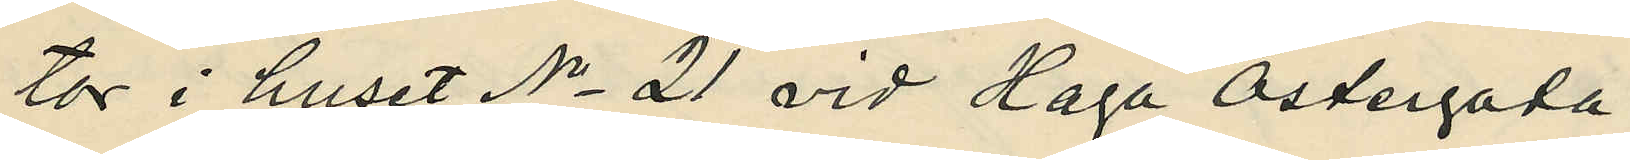tor i huset No 21 vid Haga Östergata.
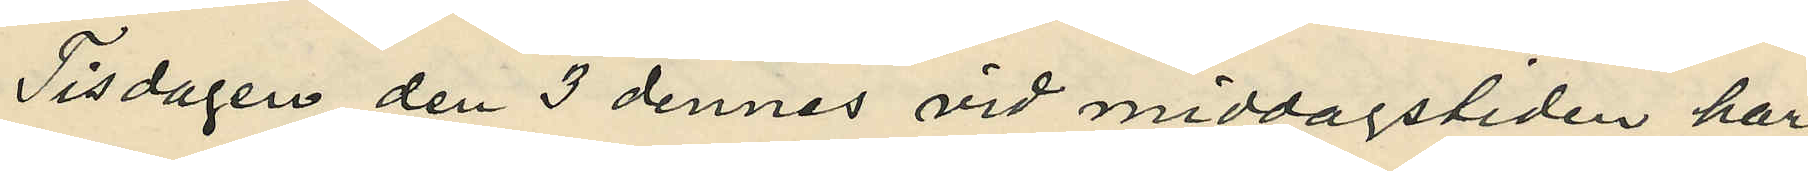Tisdagen den 3 dennes vid middagstiden har
